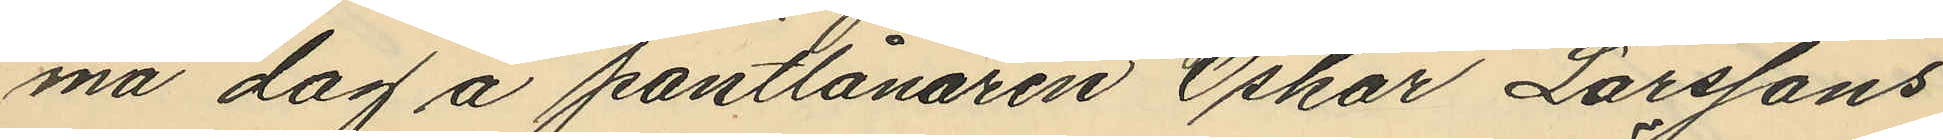ma dag å pantlånaren Oskar Larssons
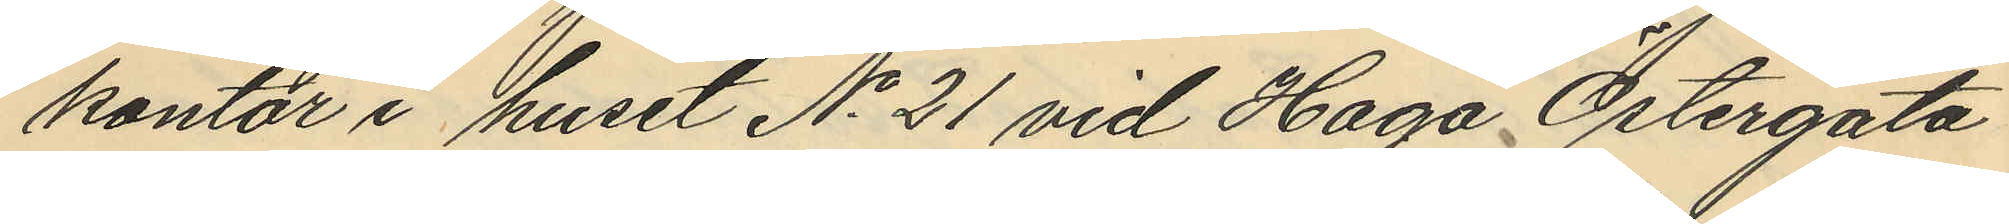kontor i huset No 21 vid Haga Östergata
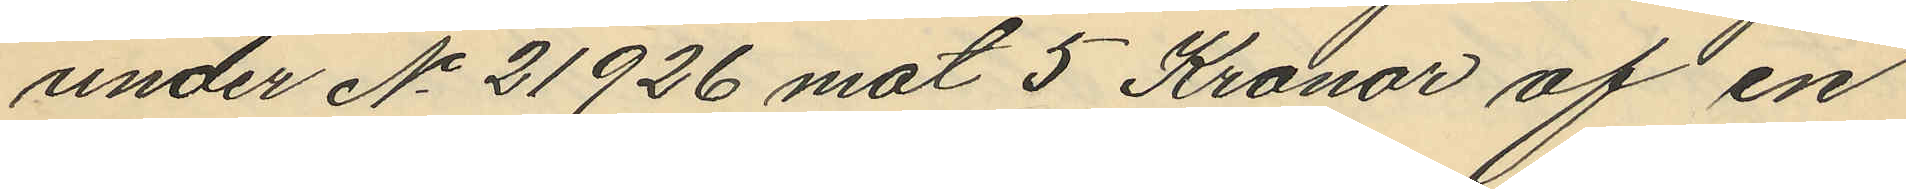under No 21926 mot 5 Kronor af en
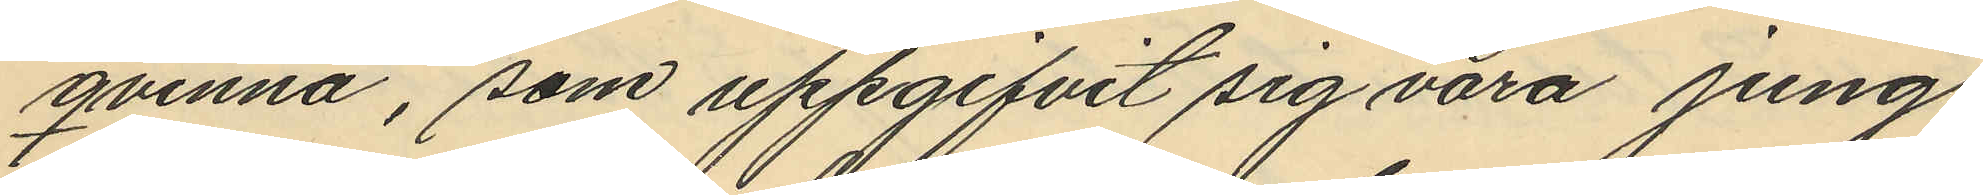qvinna, som uppgifvit sig vara jung¬
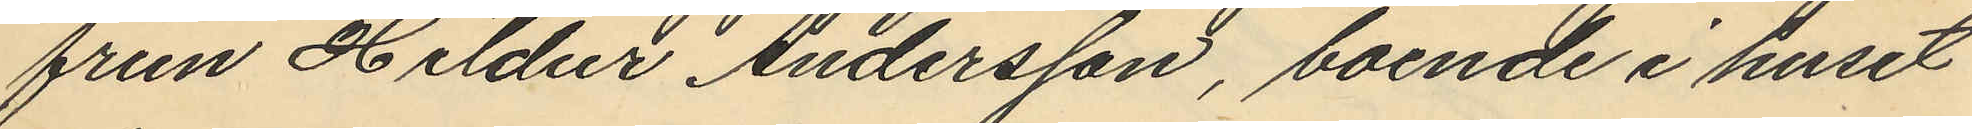frun Hildur Andersson, boende i huset
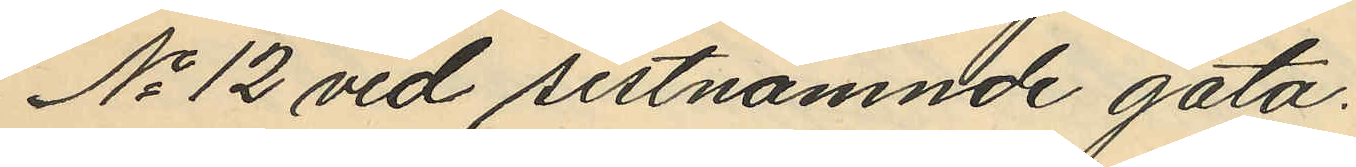No 12 vid sistnämnde gata.
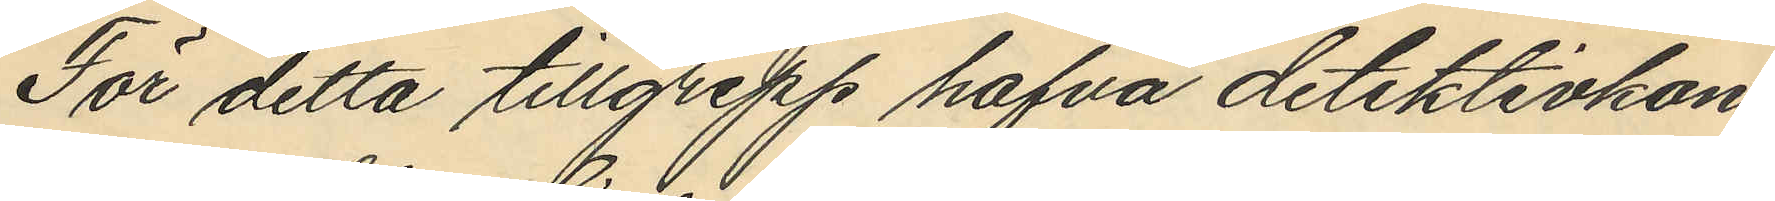För detta tillgrepp hafva detektivkon¬
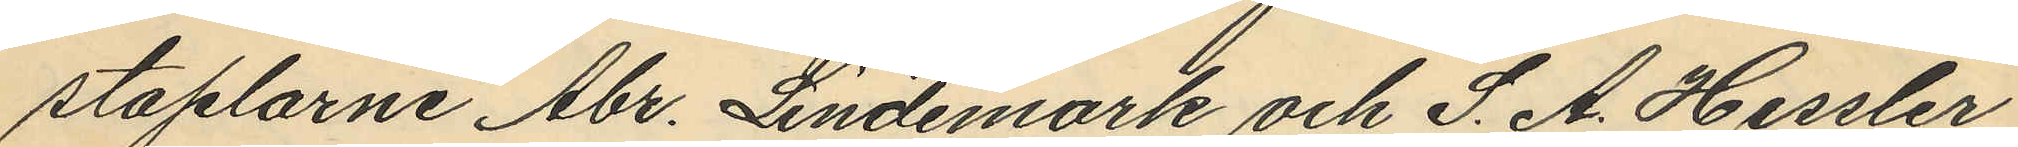staplarne Abr. Lindemark och S. A. Hessler
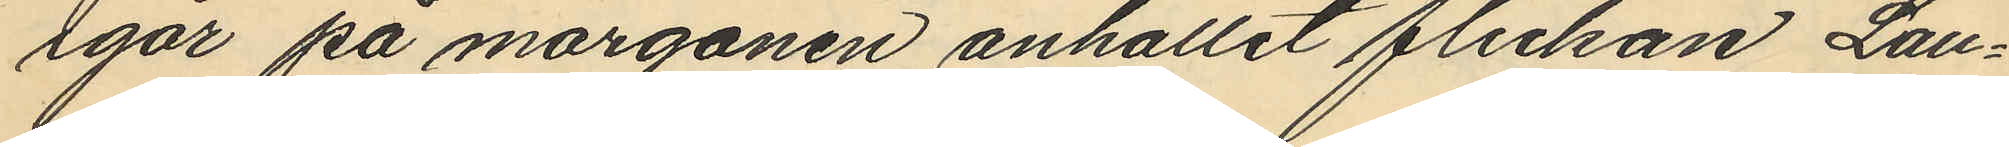igår på morgonen anhållit flickan Lau¬
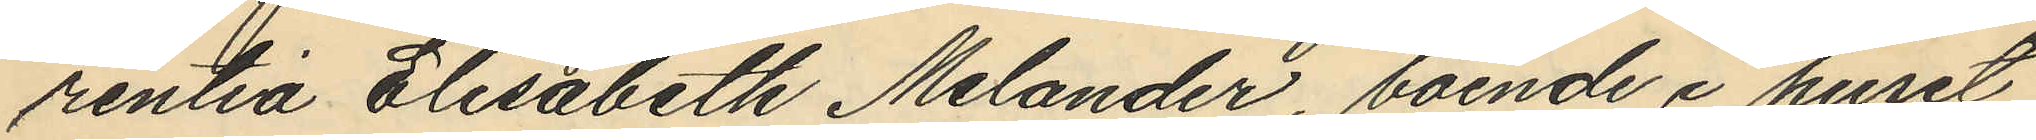rentia Elisabeth Melander, boende i huset
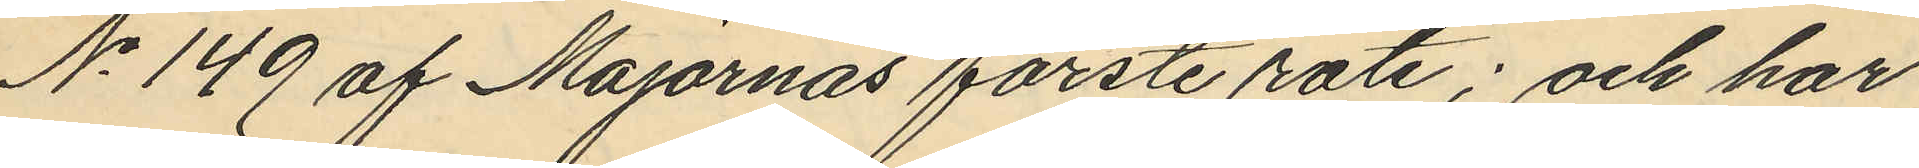No 149 af Majornas förste rote; och har
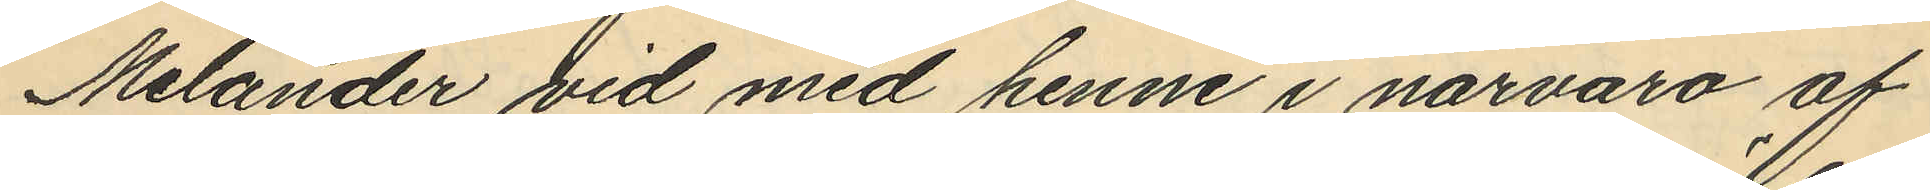Melander vid med henne i närvaro af
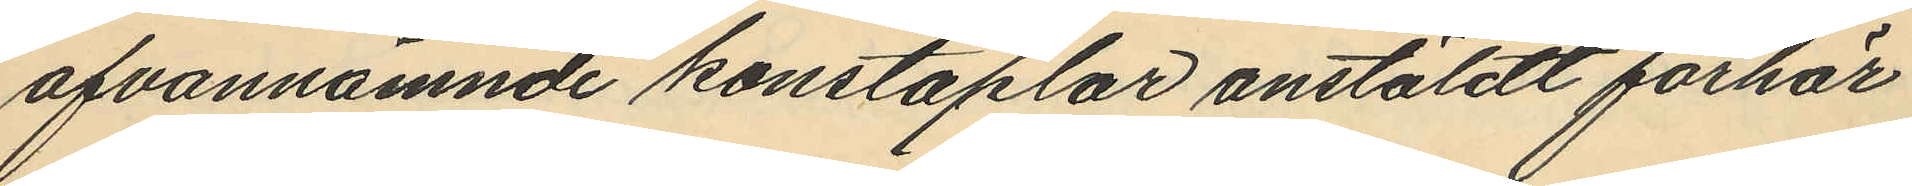ofvannämnde konstaplar anstäldt förhör
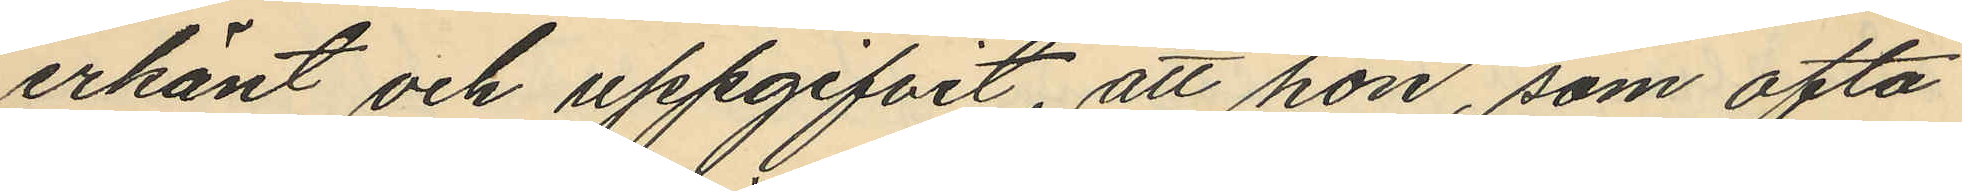erkänt och uppgifvit, att hon, som ofta
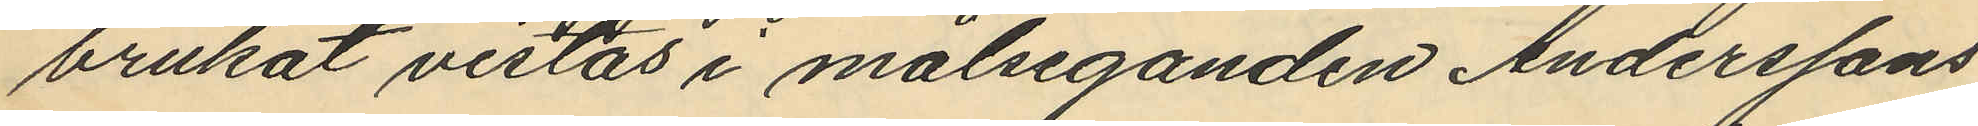brukat vistas i målseganden Anderssons
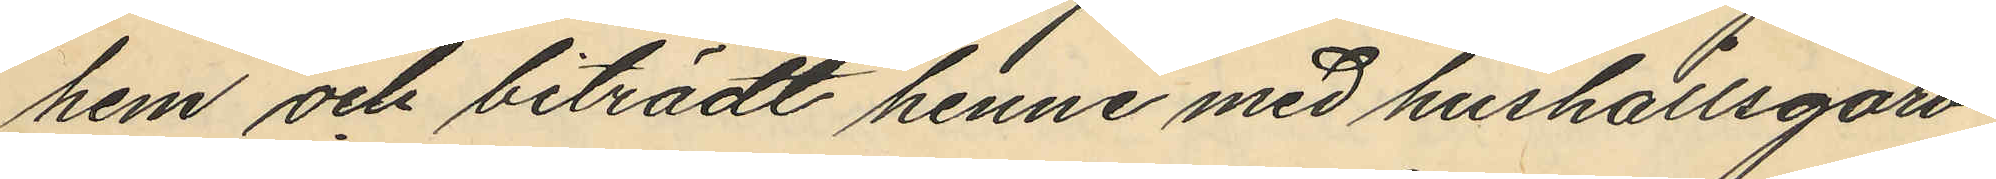hem och biträdt henne med hushållsgöro¬
